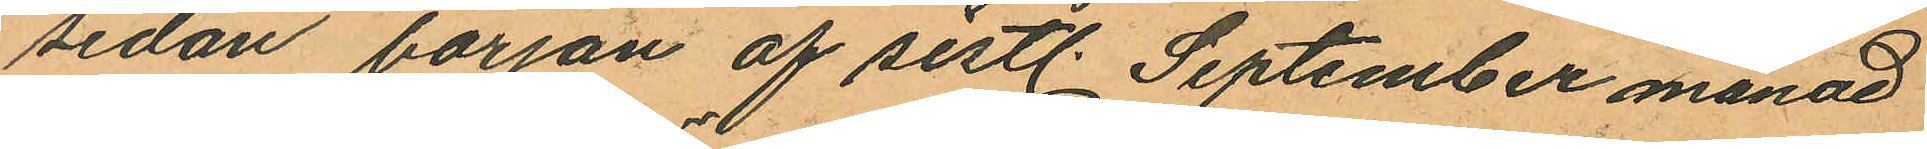sedan början af sistl. September månad
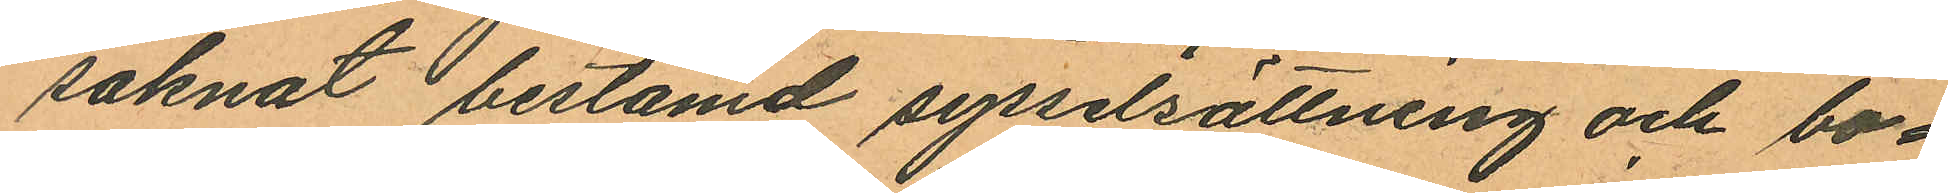saknat bestämd sysselsättning och bo¬
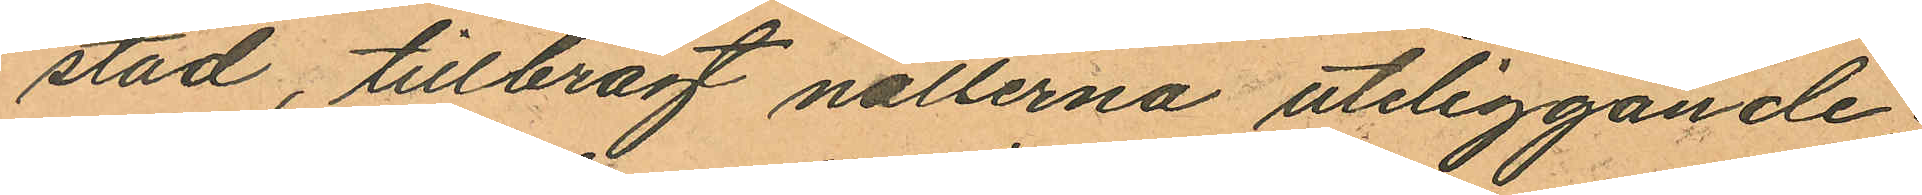stad, tillbragt nätterna utliggande;
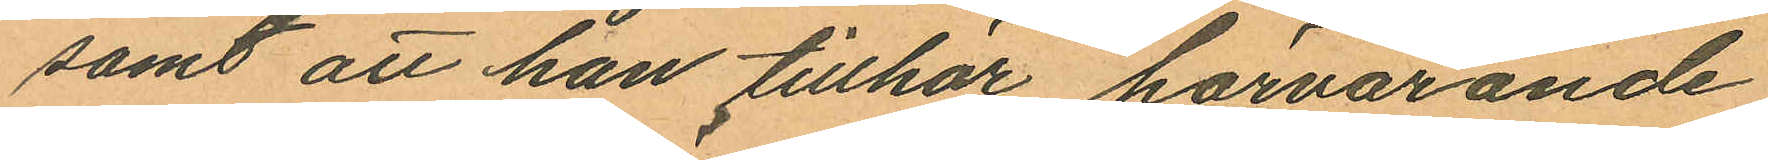samt att han tillhör härvarande
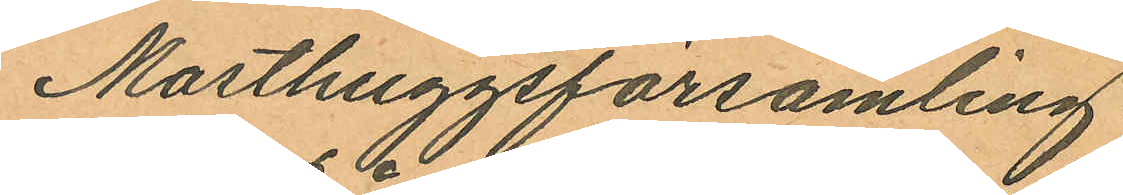Masthuggsförsamling.
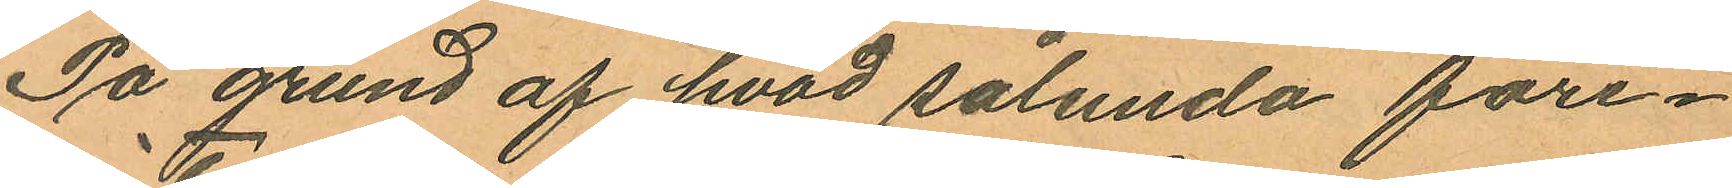På grund af hvad sålunda före¬
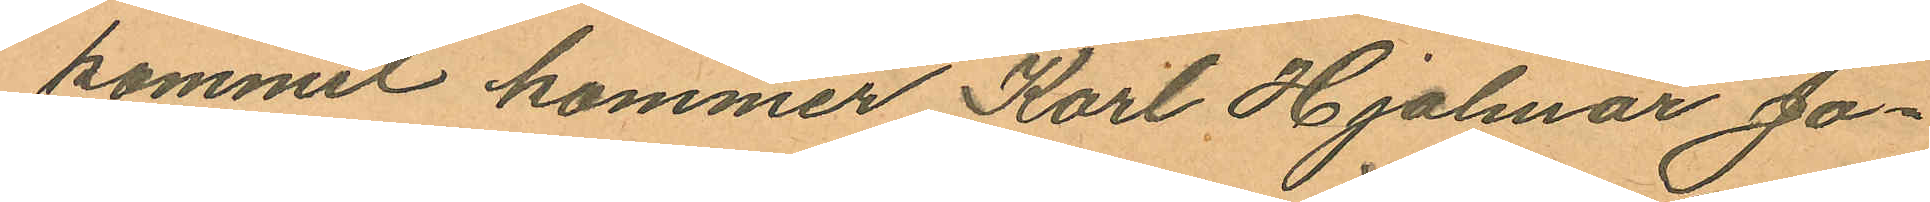kommit kommer Kart Hjalmar Jo¬
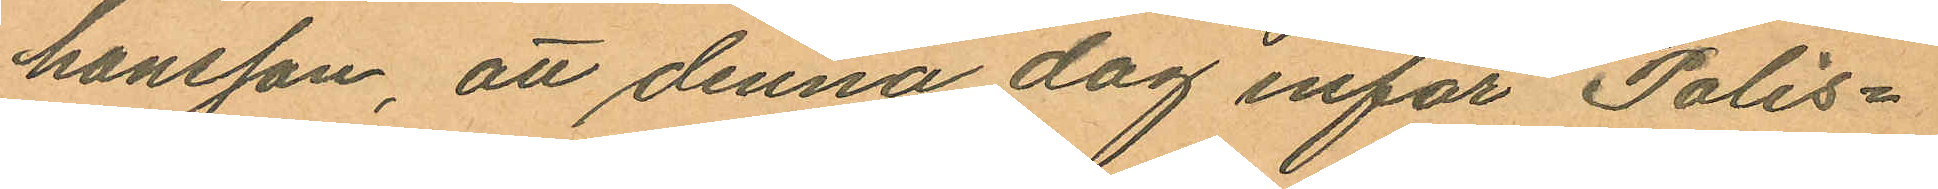hansson, att denna dag inför Polis¬
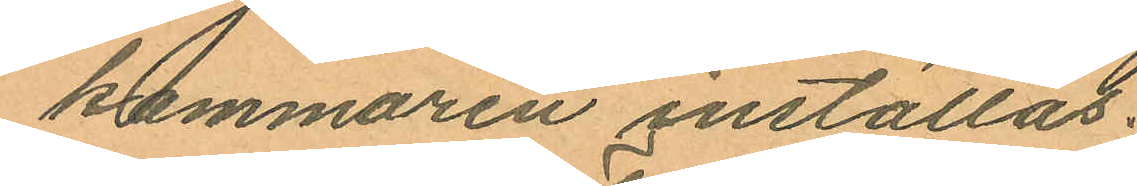kammaren inställas.
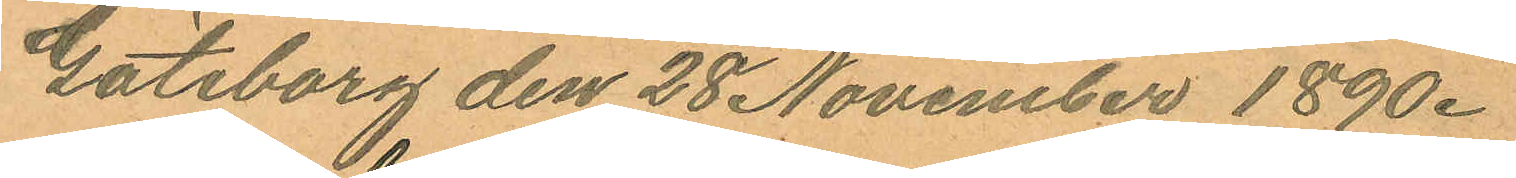Göteborg den 28 November 1890.
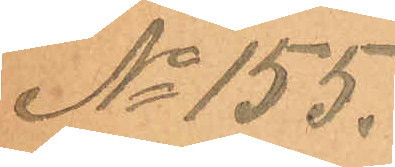No 155.
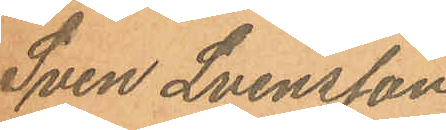Sven Svensson
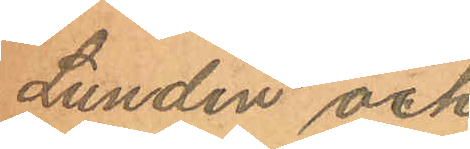Lundin och
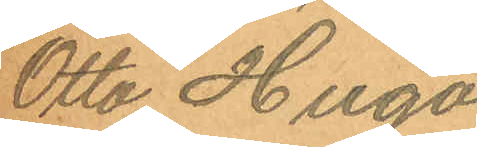Otto Hugo
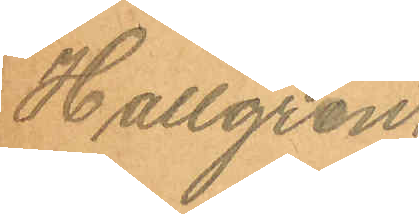Hallgren.
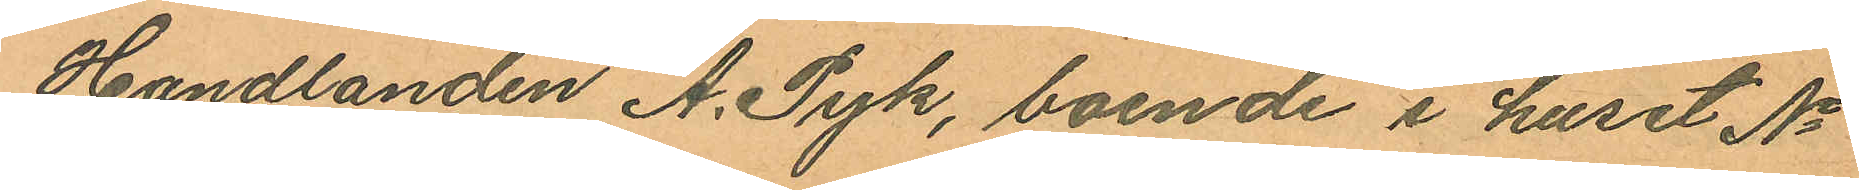Handlanden A. Pyk, boende i huset No
